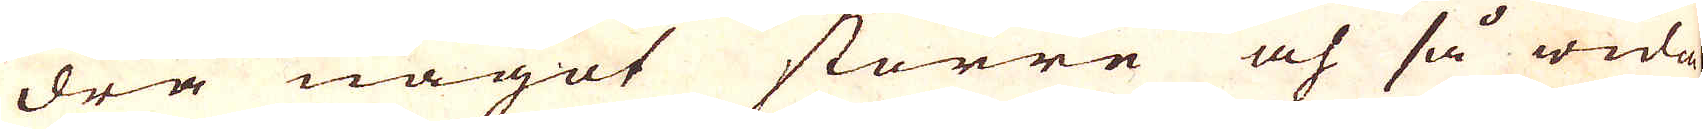dra något större och så wida-
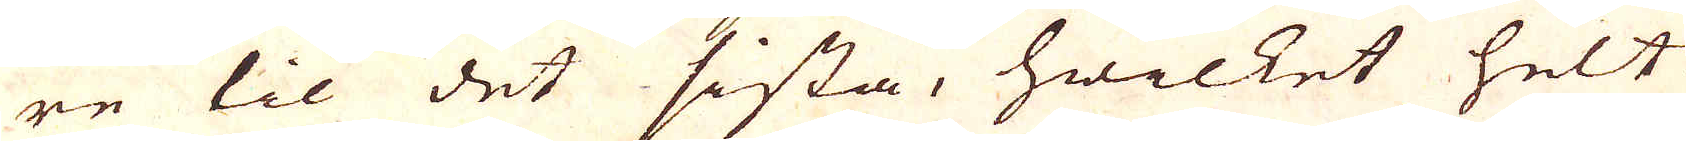re til det sista, hwilket helt
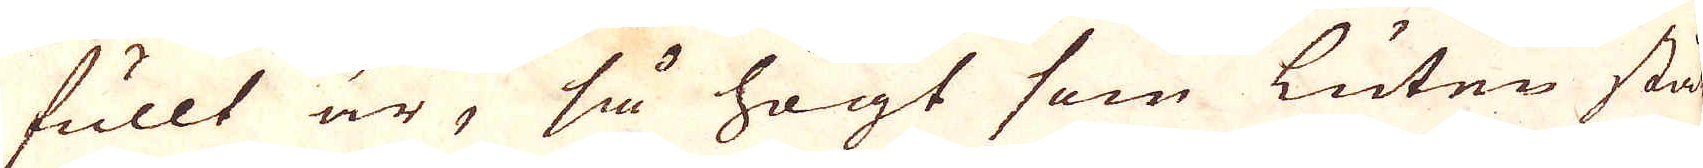fullt är, så högt som luten stå
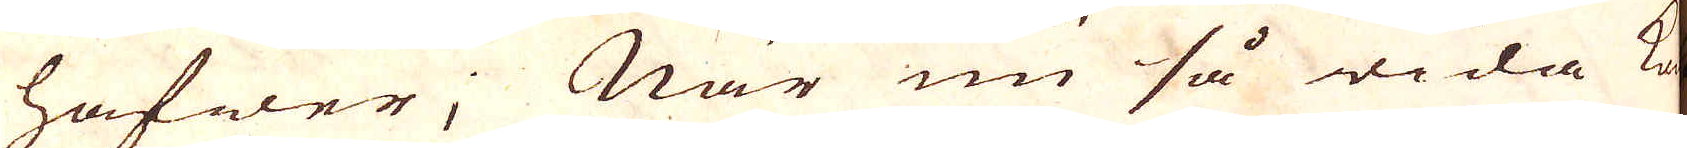hafwer; När nu så wida ko-
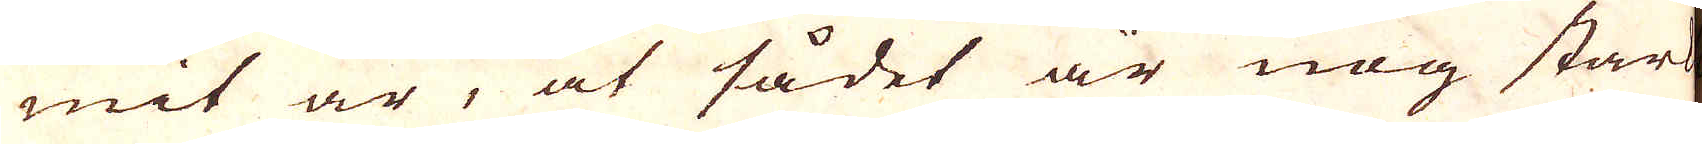mit är, at sådet är nog stark
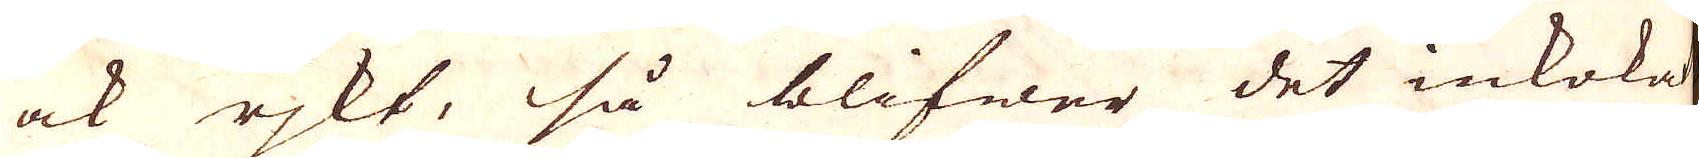ock rjkt, så blifwer det inkokat
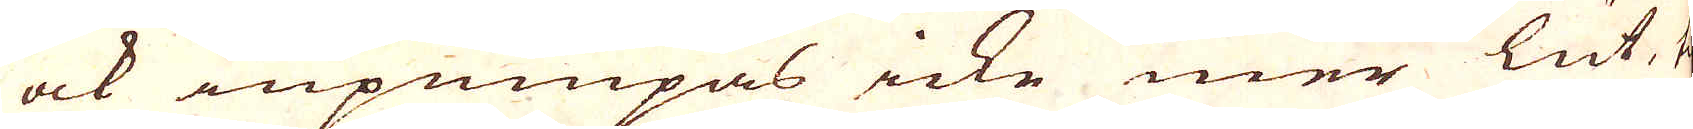ock inpumpas icke mer lut, till
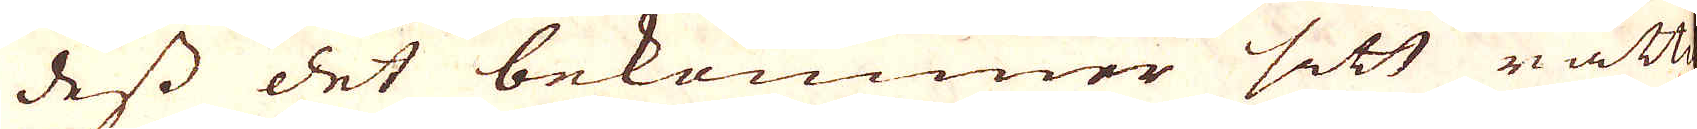dess det bekommer sitt rätta
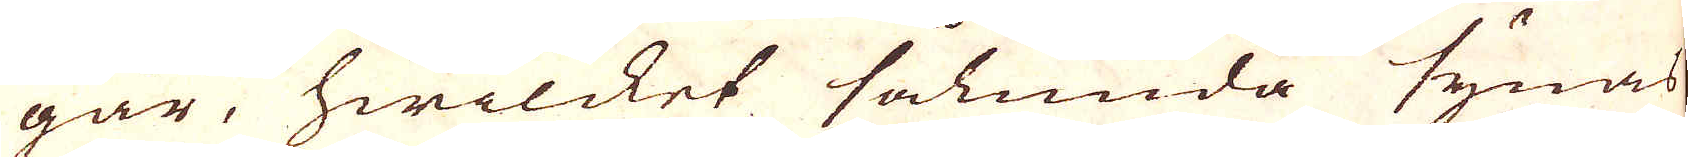går, hwilcket sålunda synas
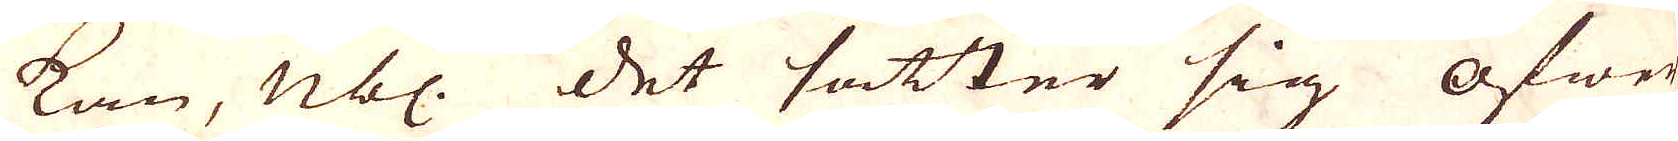kan, nbl. Det sätter sig öfwer
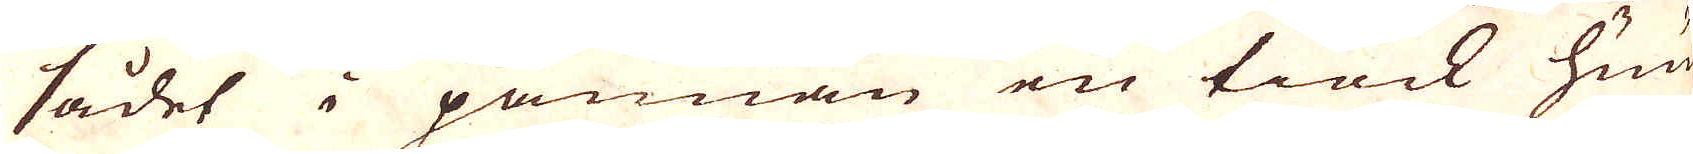sådet i pannan en tiock huud
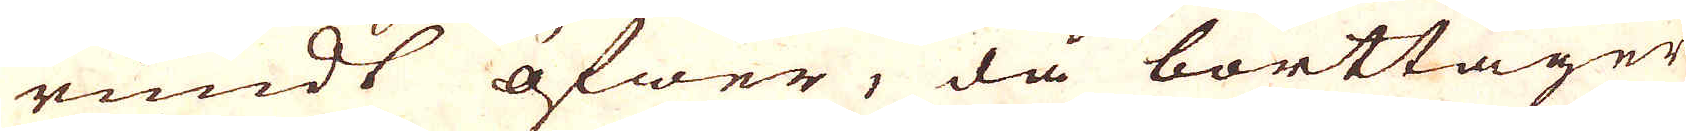rundt öfwer, då borttager
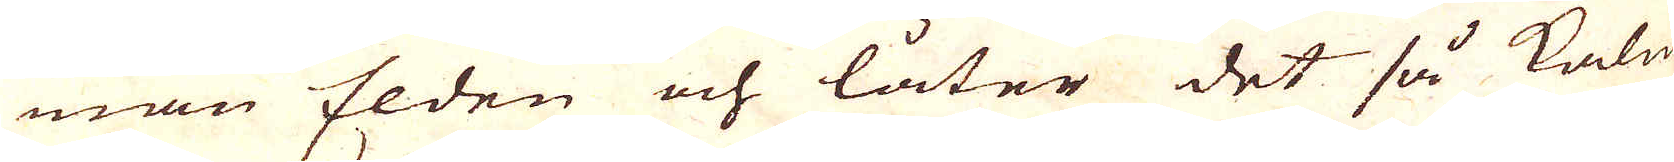man Elden och låter det så kalna
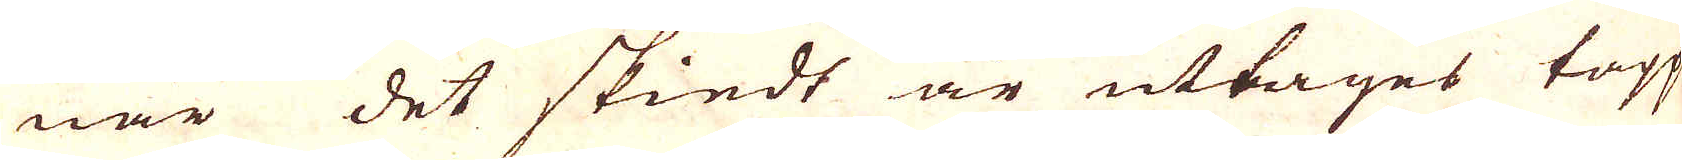när det skiedt är uttages tapp
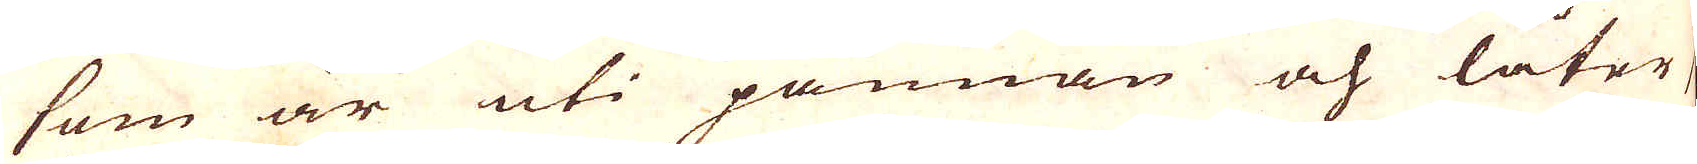som är uti pannan och låter
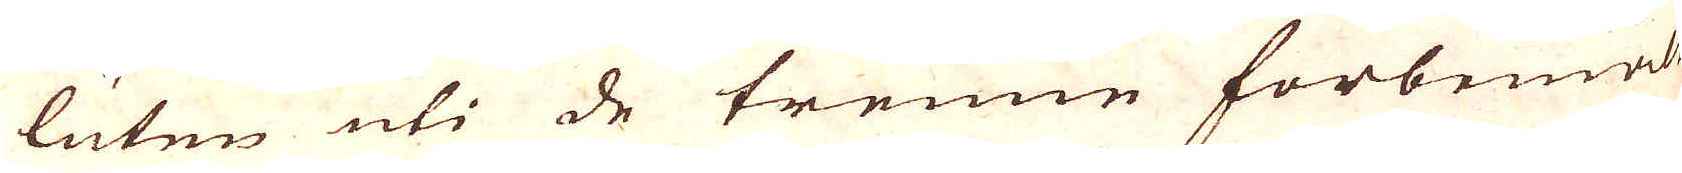luten uti de trene förbemelte
